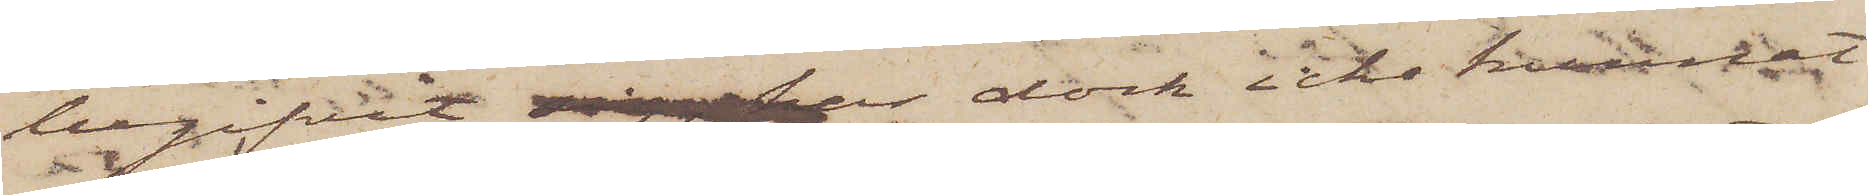begifvit sig, har dock icke kunnat
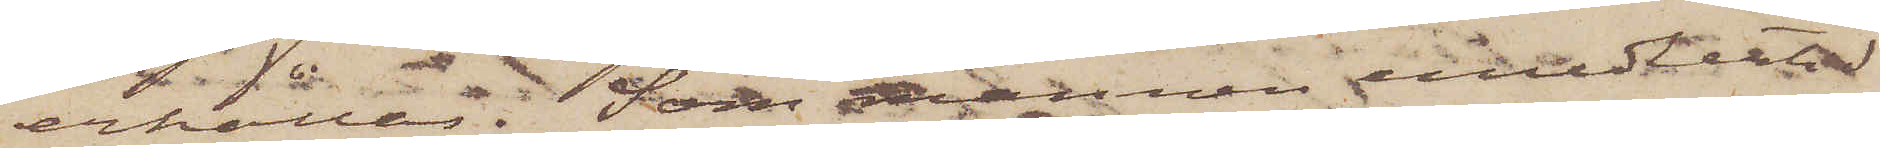erhållas. Som mannen emedlertid
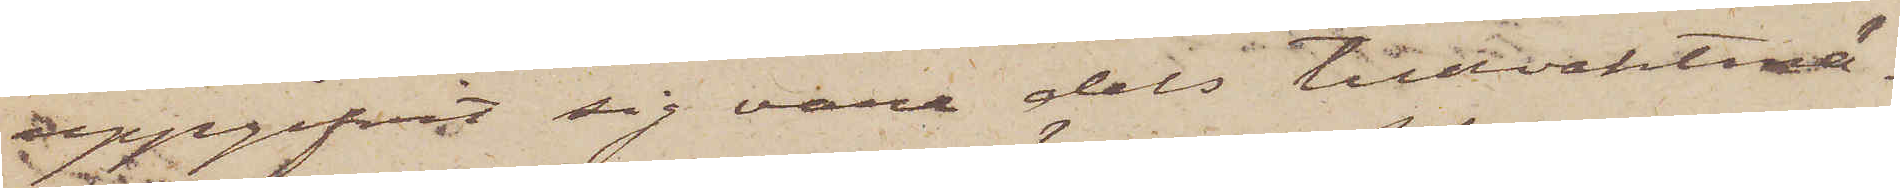uppgifvit sig vara dels tullvaktmä¬
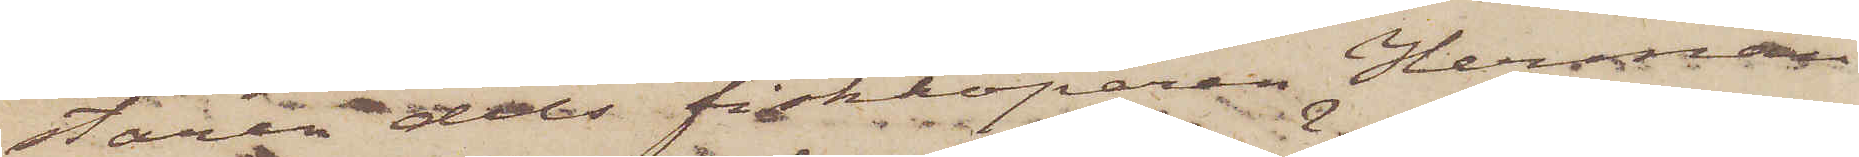staren dels fiskköparen Herman
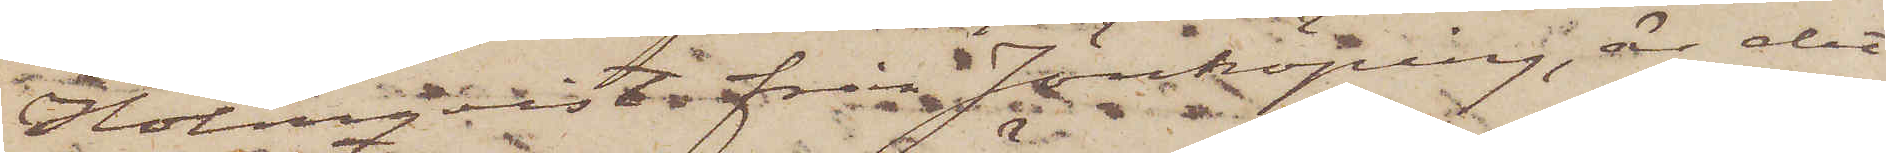Holmqvist från Jönköping, är det
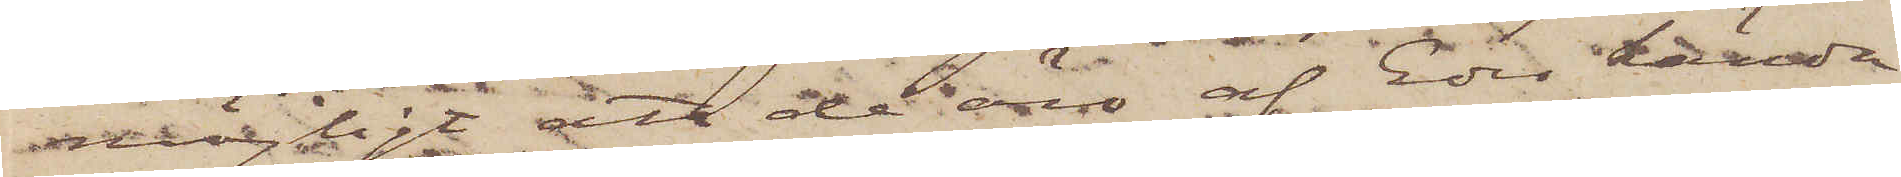möjligt att de äro af Eder kända,
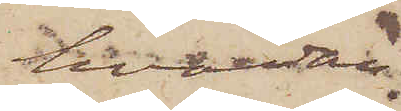hvadan
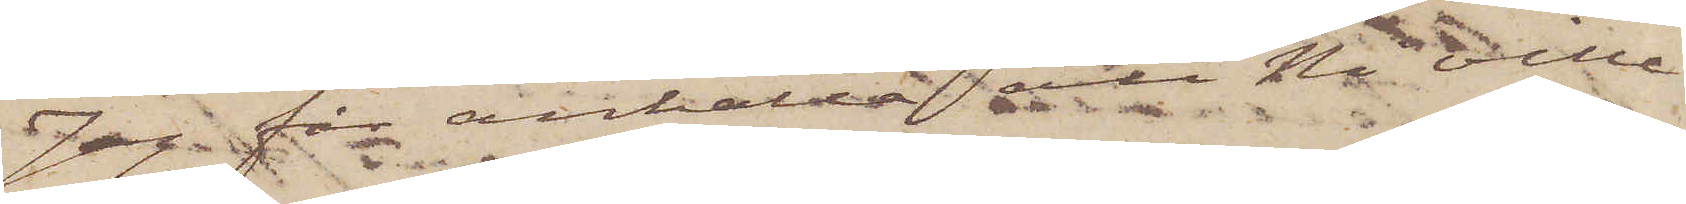Jag får anhålla att Ni ville
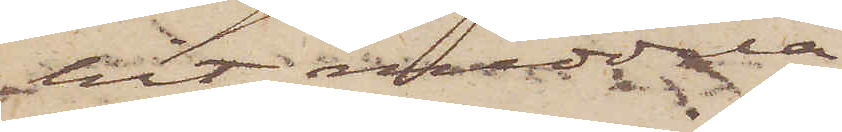 hit meddela
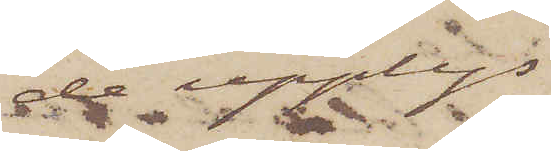 de upplys¬
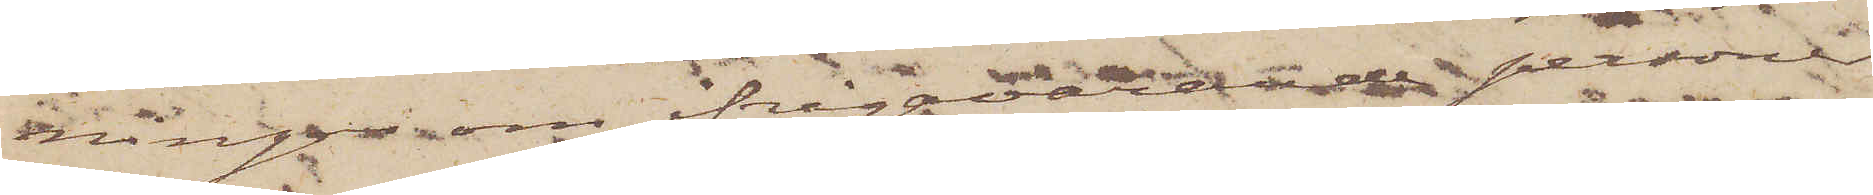ningar om ifrågavarade personer
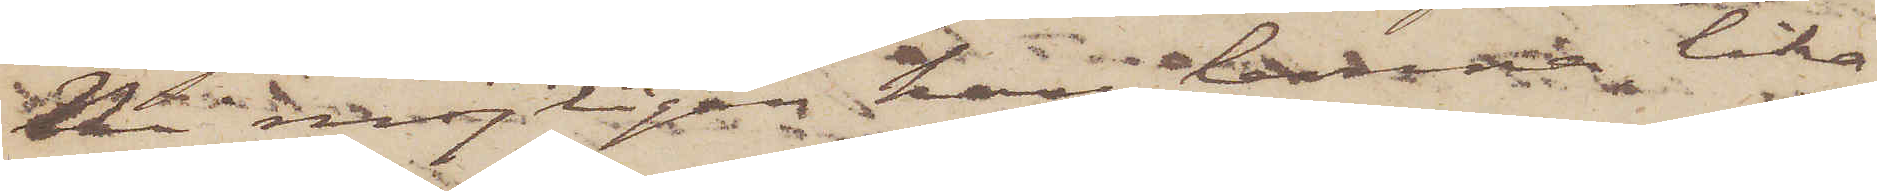Ni möjligen kan lemna lika¬
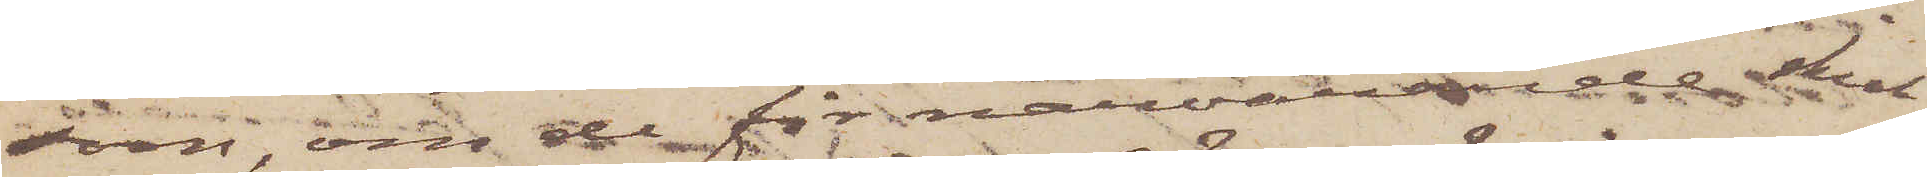som, om de för närvarande skul¬
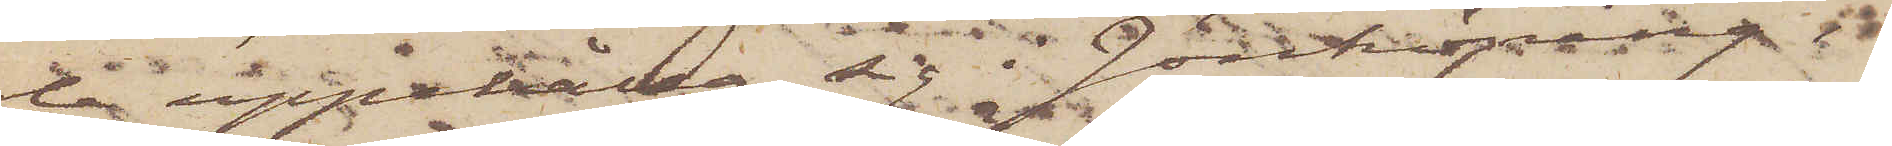le uppehålla sig i Jönköping;
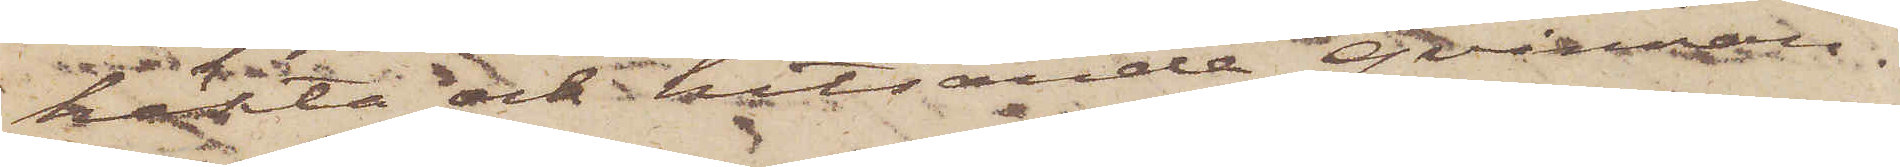häkta och hitsända qvinnan.
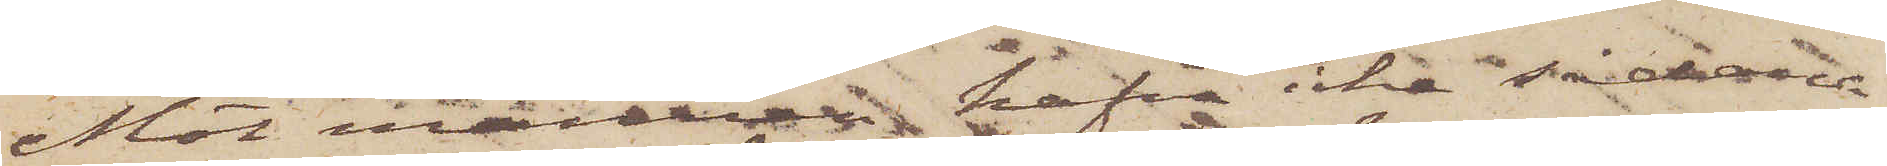Mot mannen hafva icke sådana
